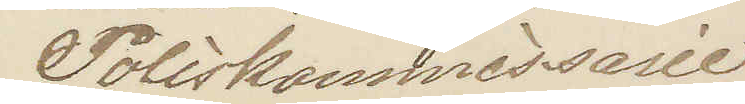Poliskommissarie
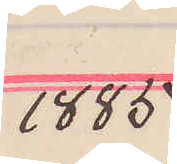1885
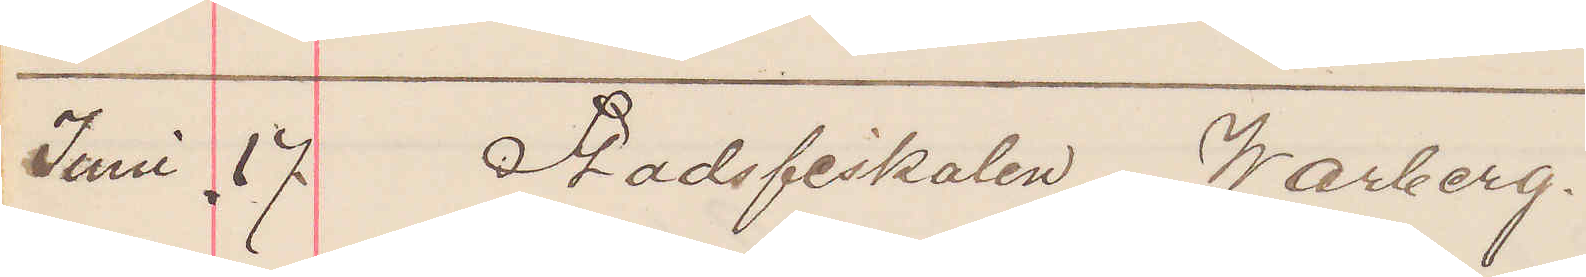Juni 17 Stadsfiskalen Warberg.
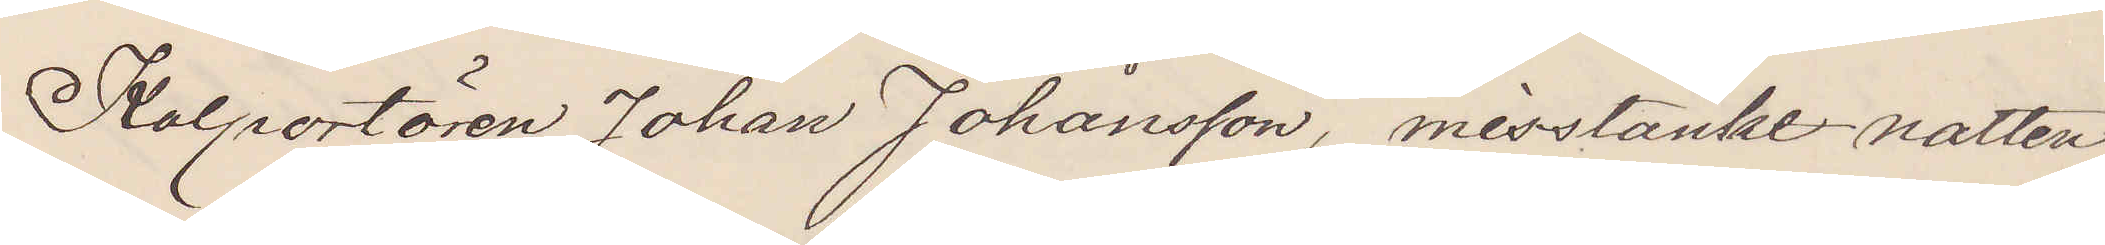Kolportören Johan Johansson, misstänkes natten
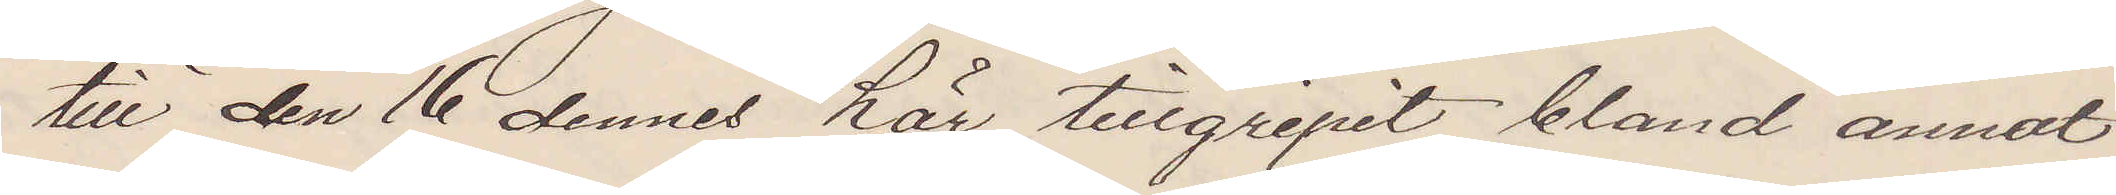till den 16 dennes här tillgripit bland annat
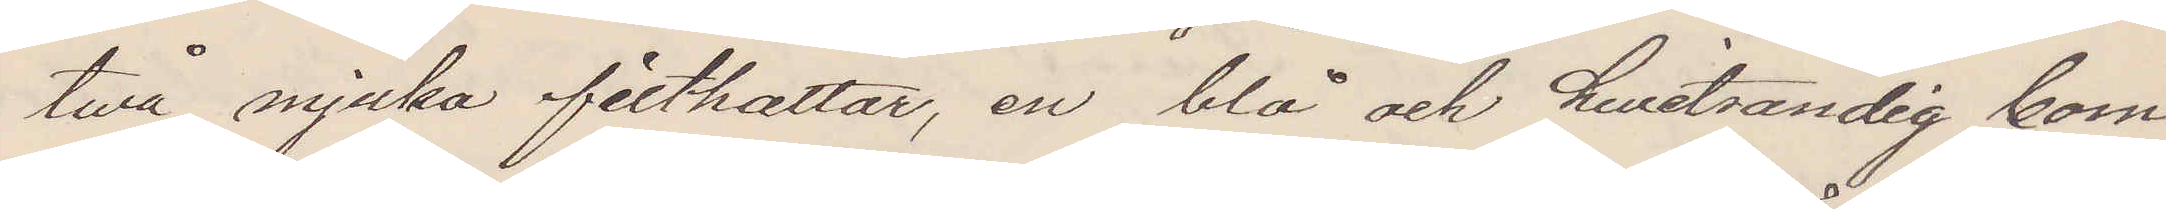två mjuka filthattar, en blå och hwitrandig bom¬
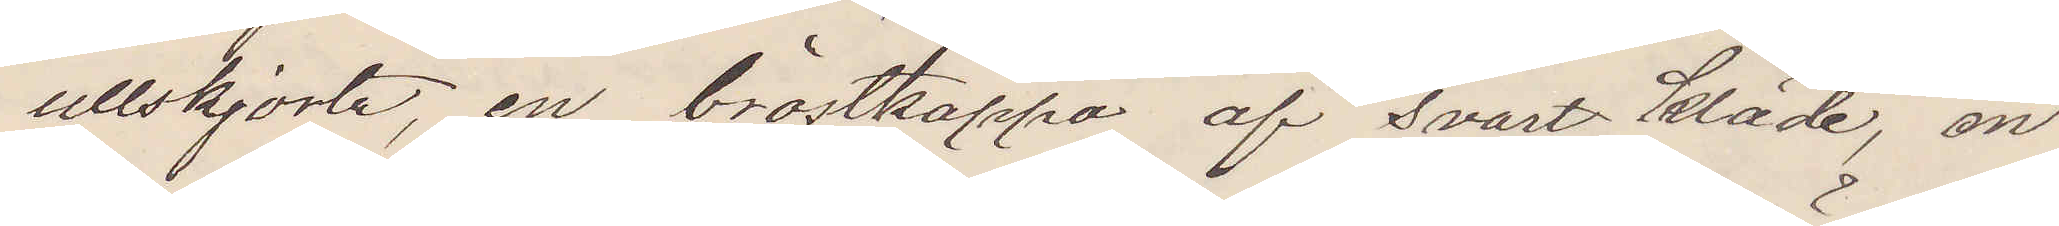ullskjorta, en bröstkappa af svart kläde, en
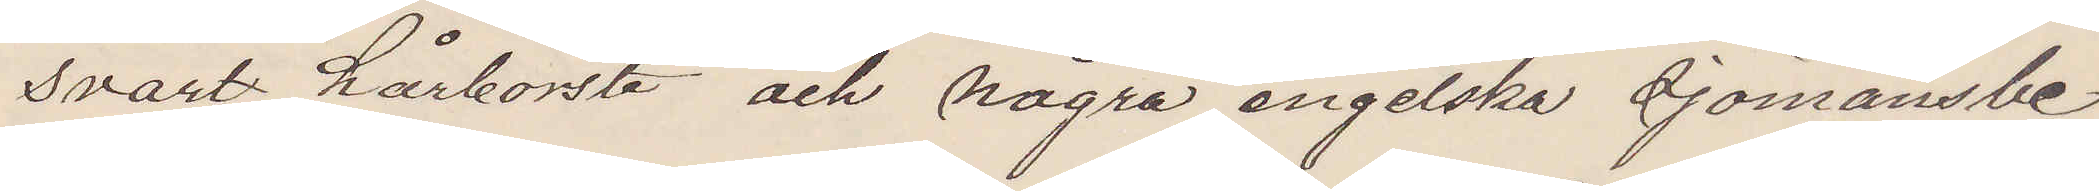svart hårborste och några engelska sjömansbe¬
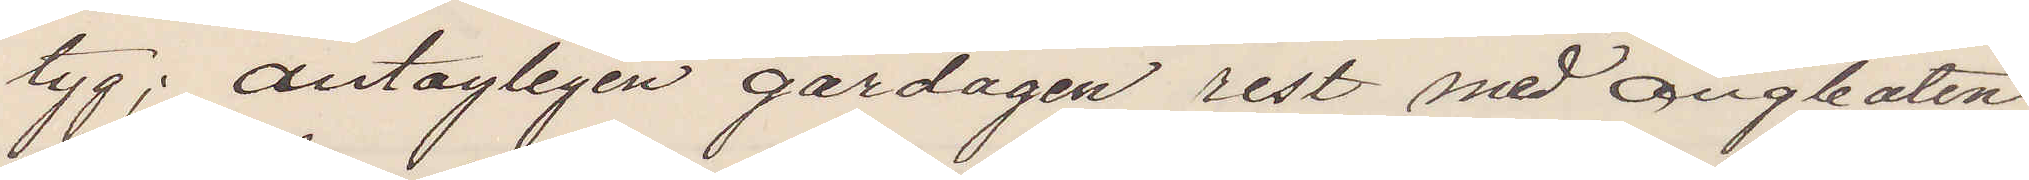tyg; antagligen gårdagen rest med ångbåten
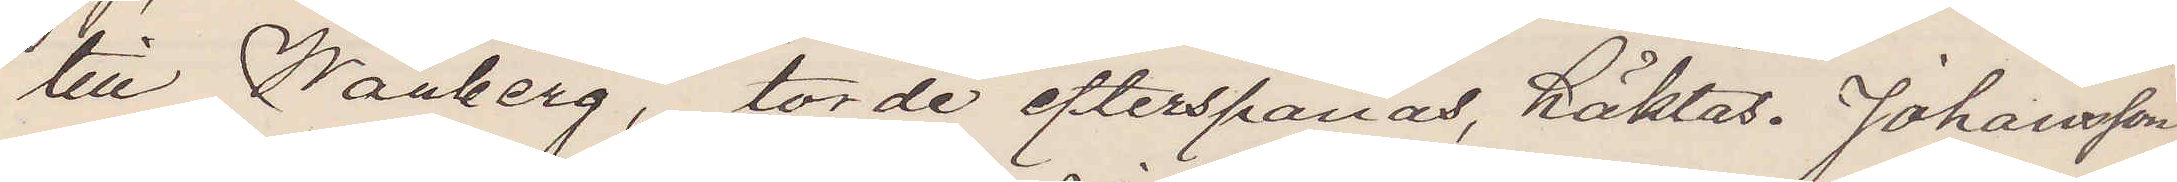till Warberg, torde efterspanas, häktas. Johansson
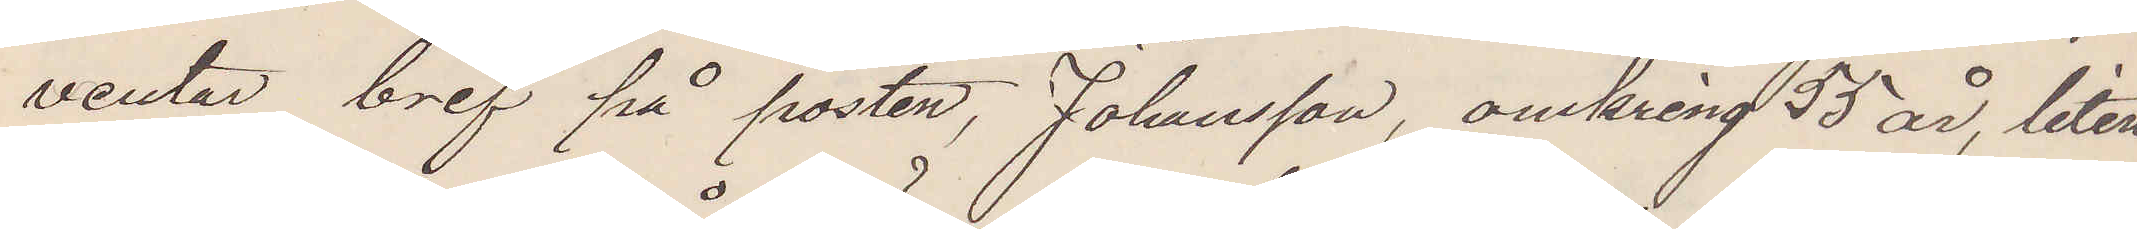ventar bref på posten, Johansson, omkring 55 år, liten
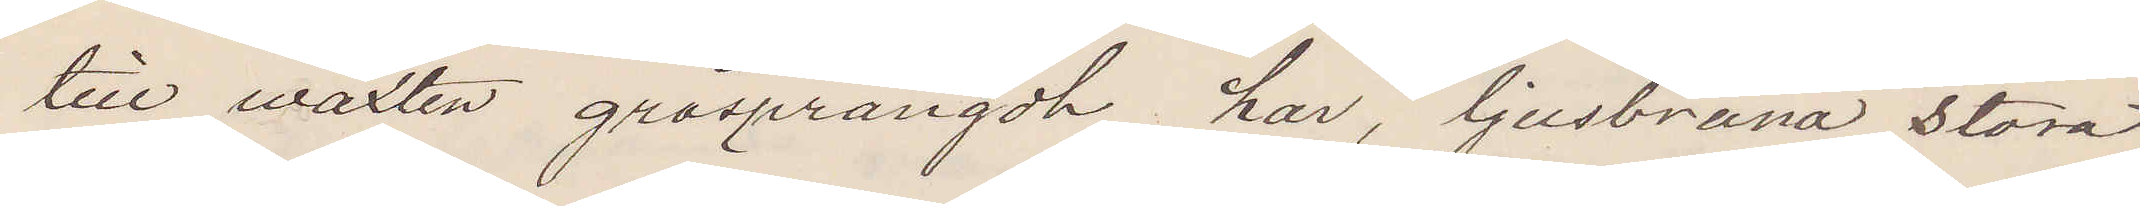till växten gråsprängdt hår, ljusbruna stora
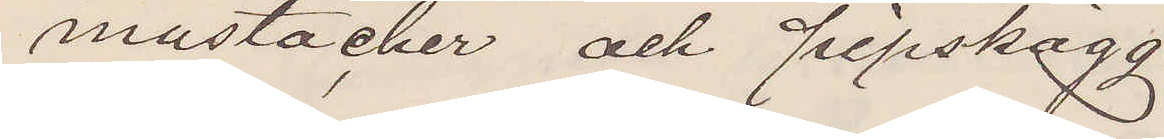mustacher och pipskägg.
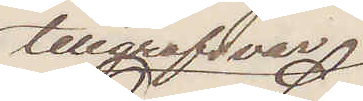telegrafsvar
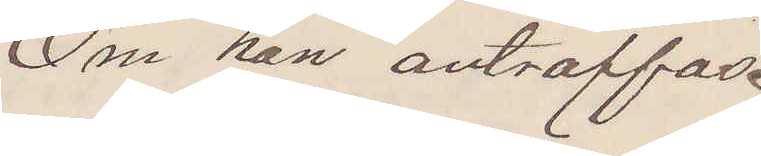Om han anträffas.
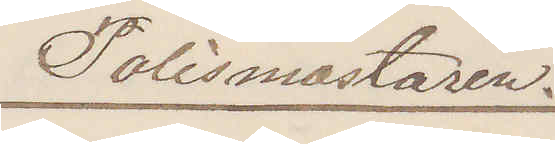Polismästaren.
